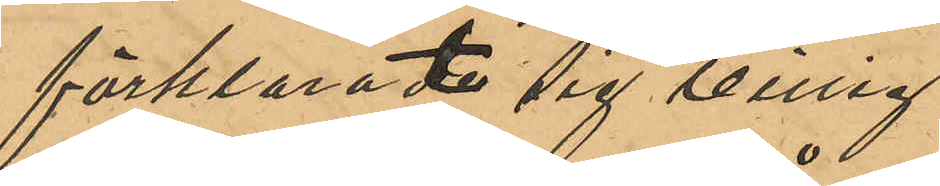förklarat sig villig
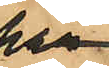här¬
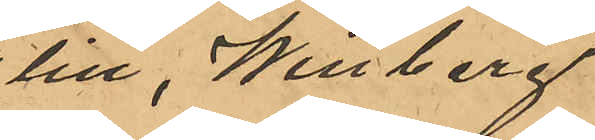till, Winberg
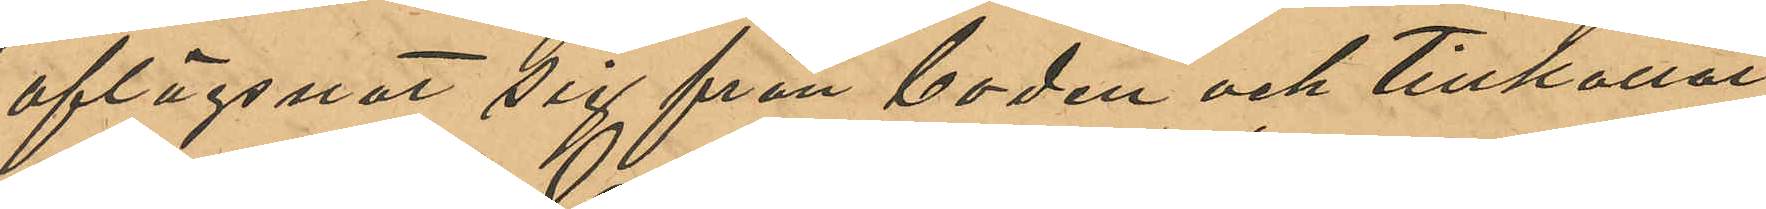aflägsnat sig från boden och tillkallat
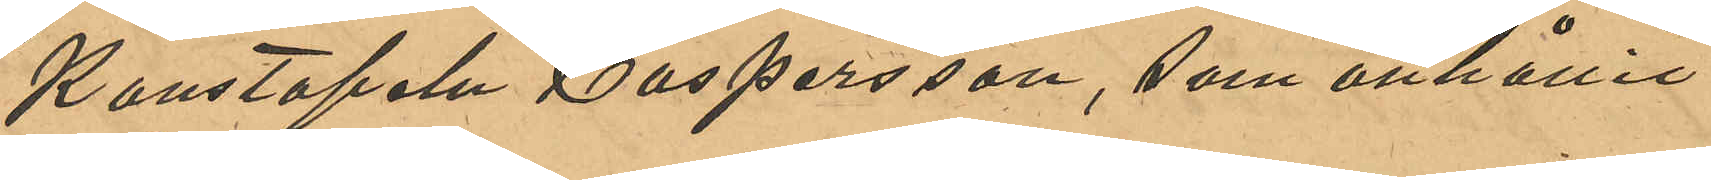Konstapeln Caspersson, som anhållit
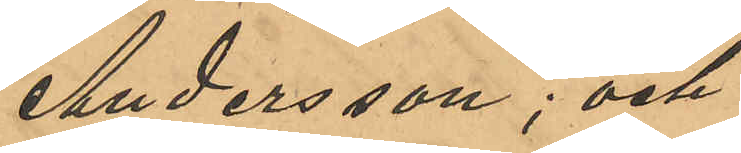Andersson; och
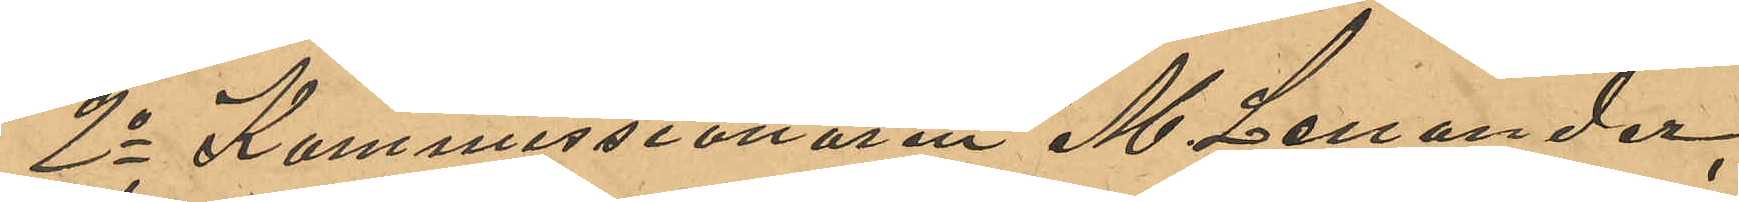2o Kommissionären M. Lenander,
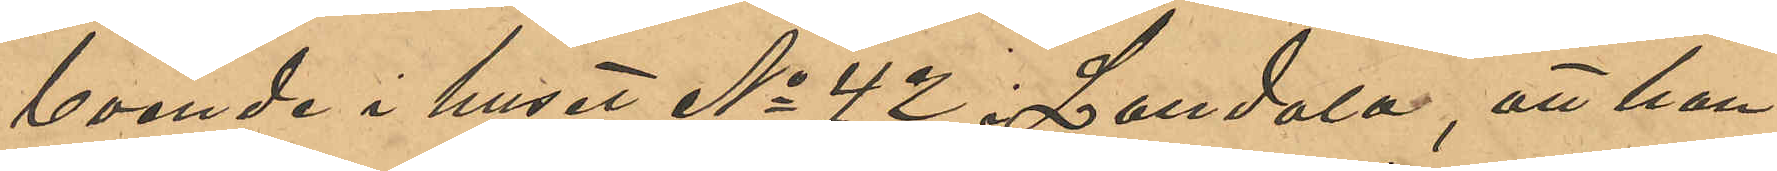boende i huset No 42 i Landala, att han
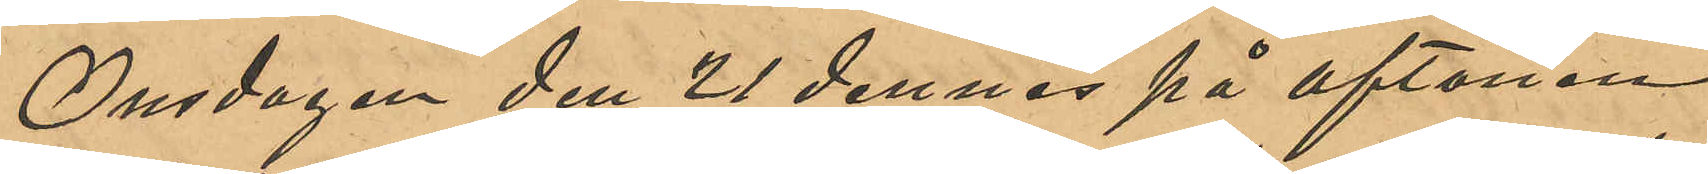Onsdagen den 21 dennes på aftonen
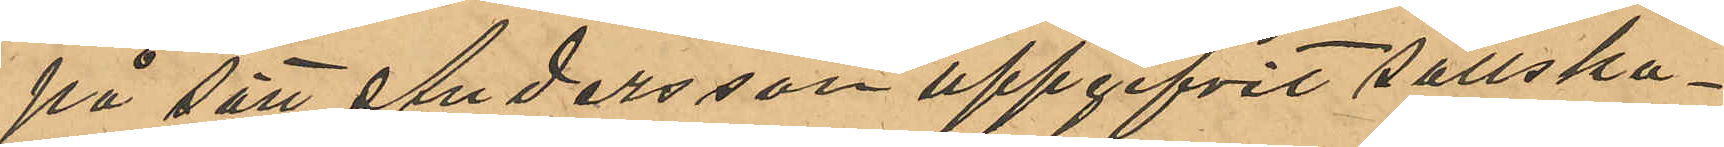på sätt Andersson uppgifvit sällska¬
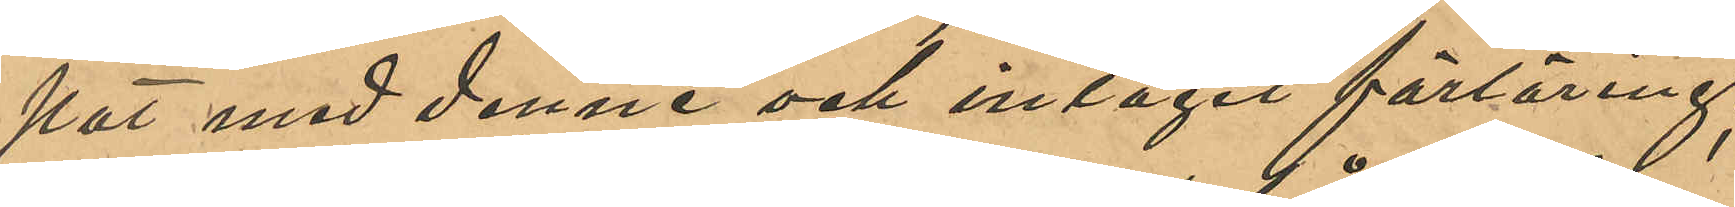pat med denne och intagit förtäring;
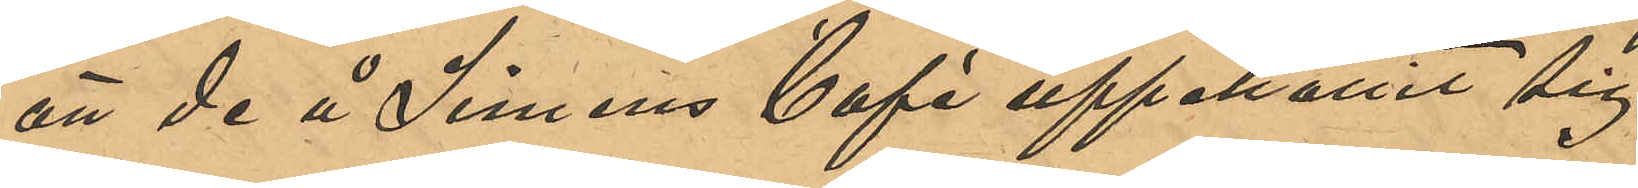att de å Simens Café uppehållit sig
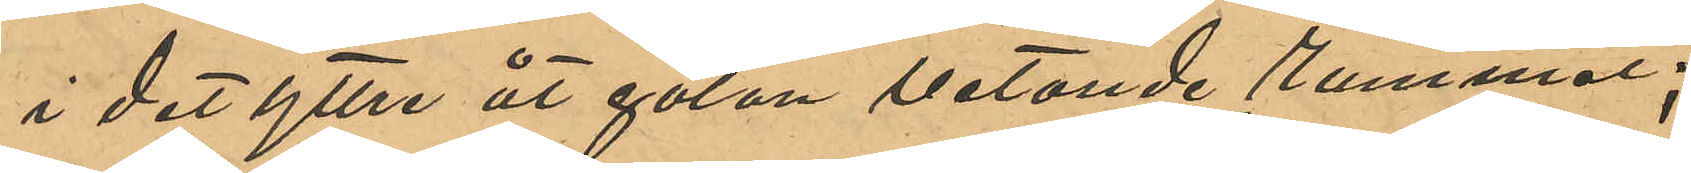i det yttre åt gatan vetande rummet;
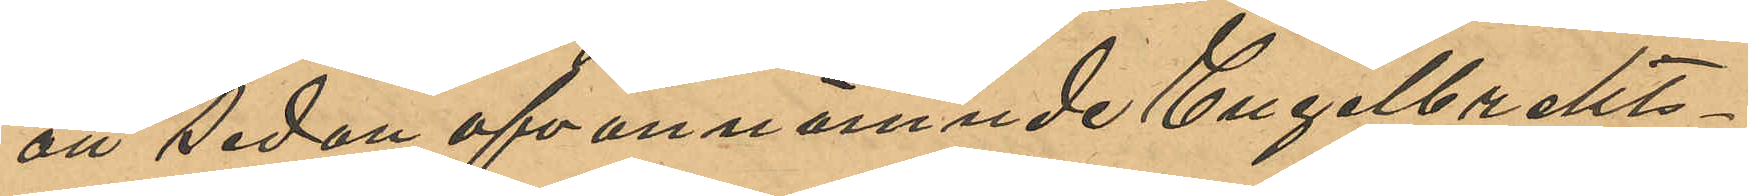att sedan ofvannämnde Engelbrekts¬
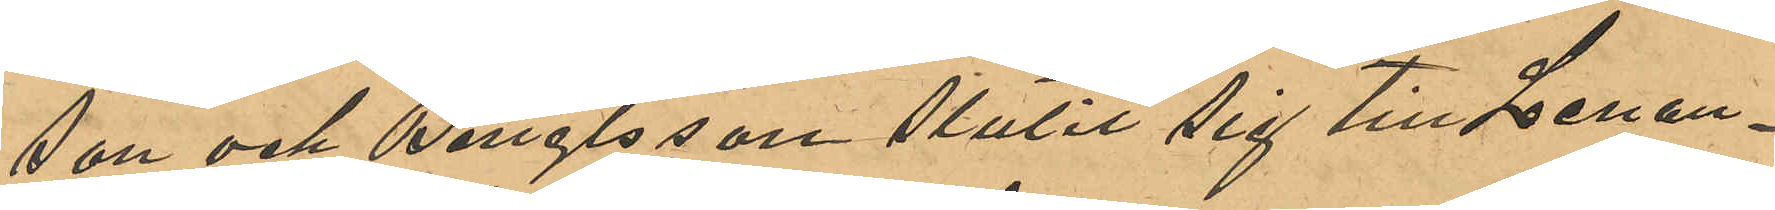son och Bengtsson slutit sig till Lenan¬
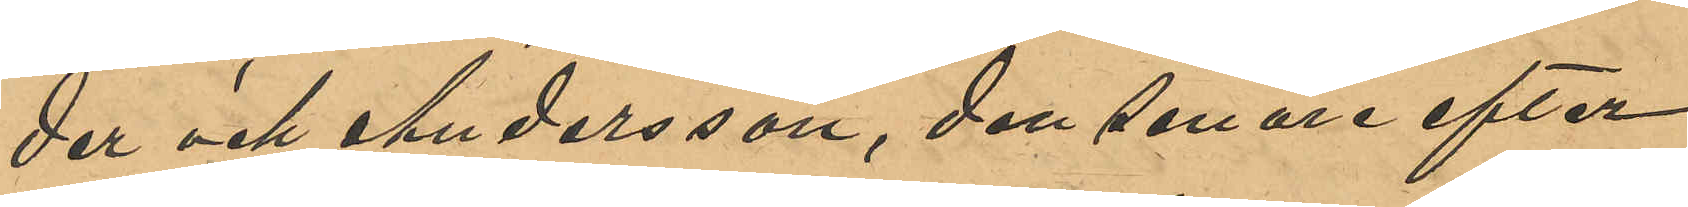der och Andersson, den senare efter
